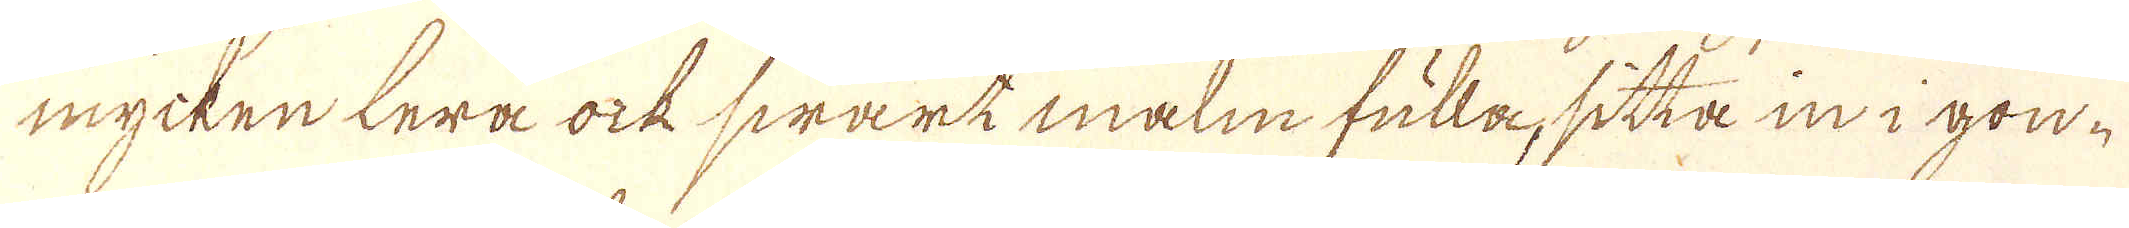mycken lera ock swart malm fulla, sitta in i gon-
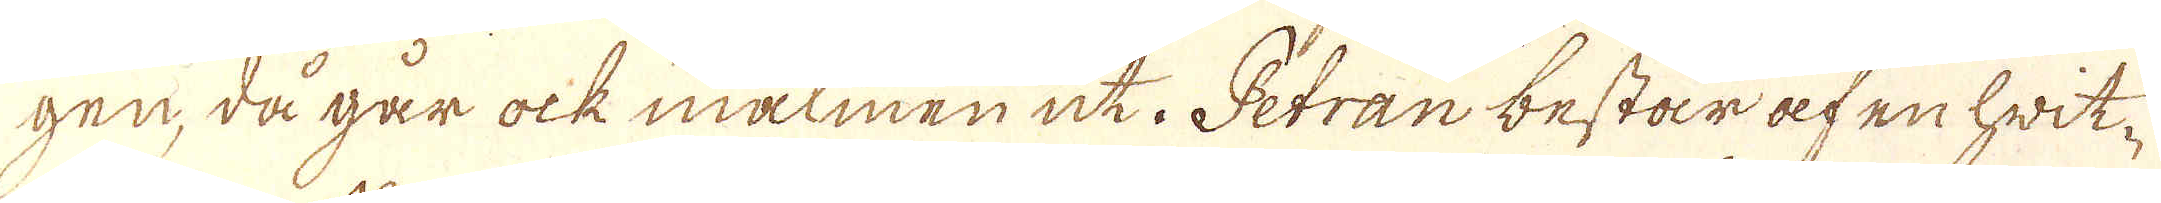gen, då går ock malmen uti Petran består af en hwit-
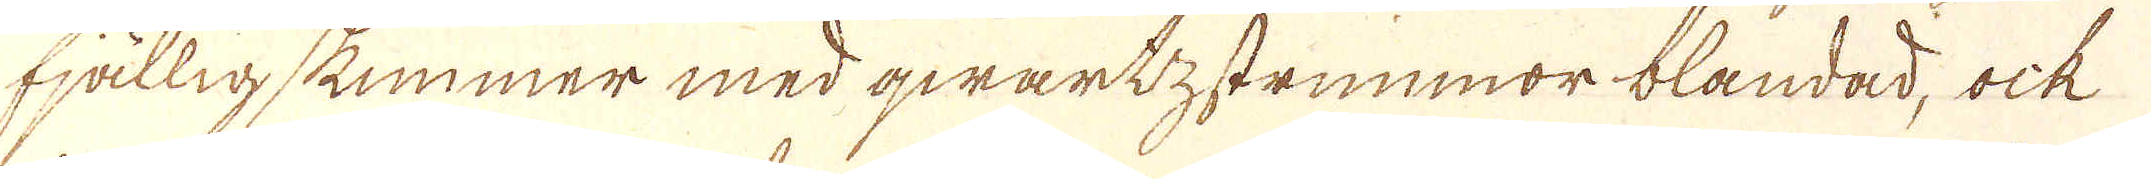hjällig skummer med qwartzstrimmor blandad, ock
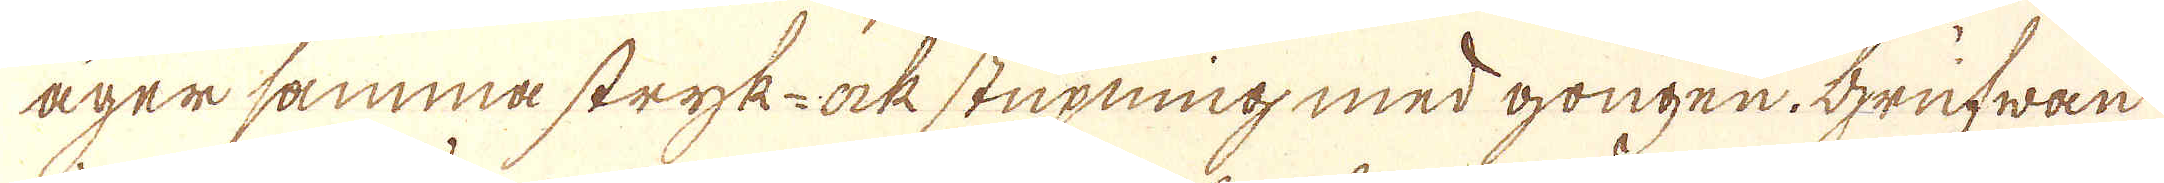äger samma stryk- ock stupning med gongen. Grufwan
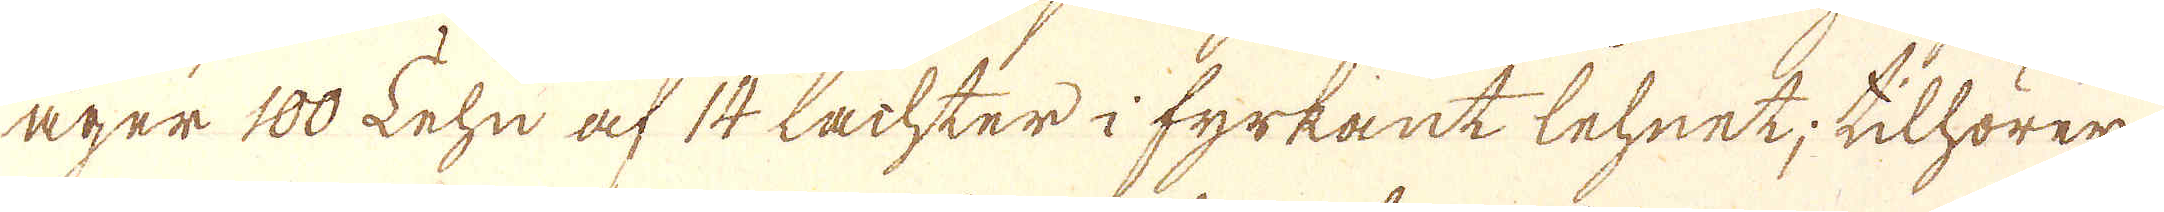äger 100 Lehn af 14 Lachter i fyrkant lehnet; tillhörer
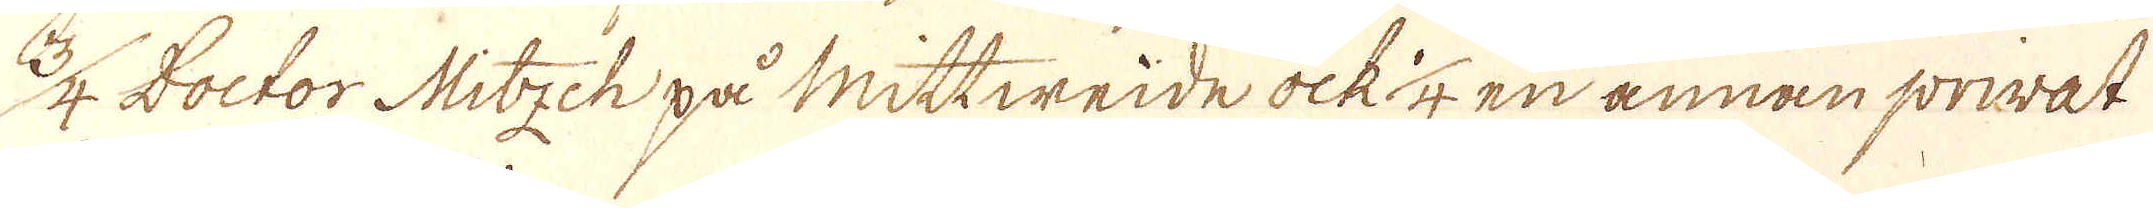3/4 Doctor Mitsch på Mittweide ock 1/4 en annan privat
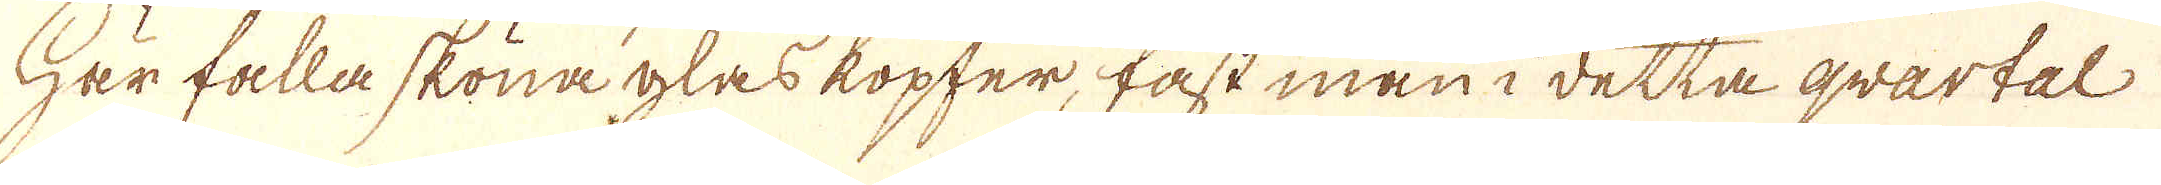Här falla sköna glas kopfer, fast man i detta qvartal
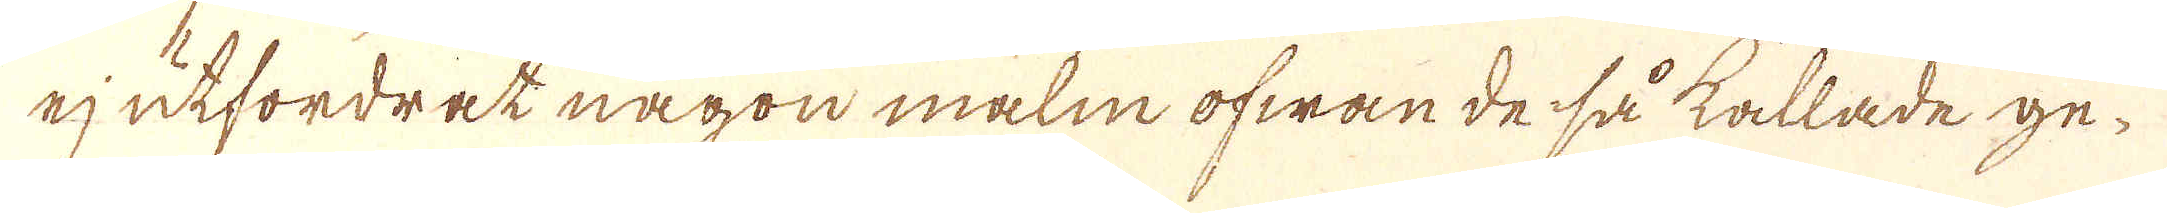ej utfordrat någon malm ofwan de så kallade ge-
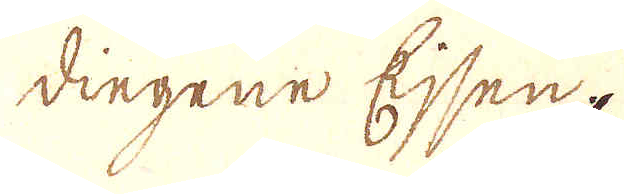dingenne Ejsen.
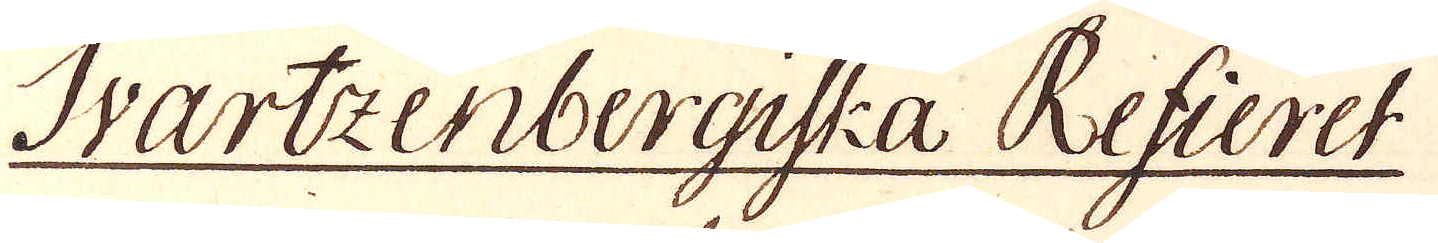Svartzenbergiska Refieret
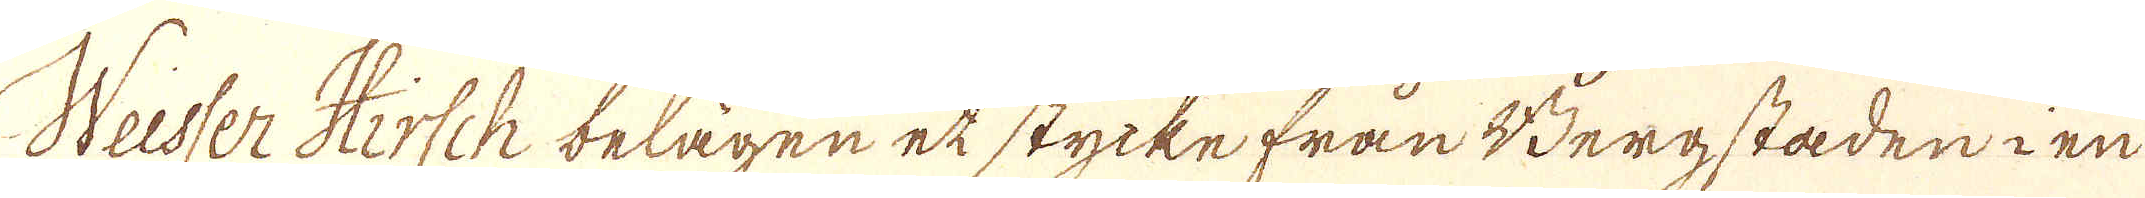Weisser Hirsch belägen et stycke från Bergstaden i en
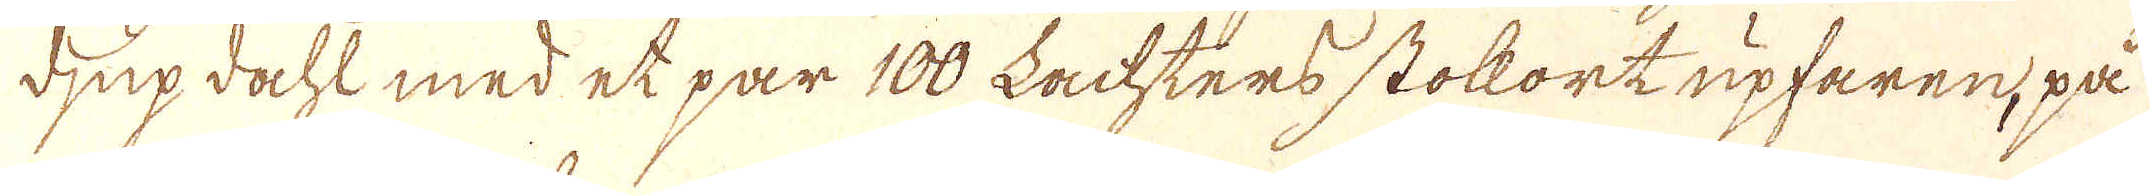djup dacht med et par 100 Lachters stockort upfaren, på
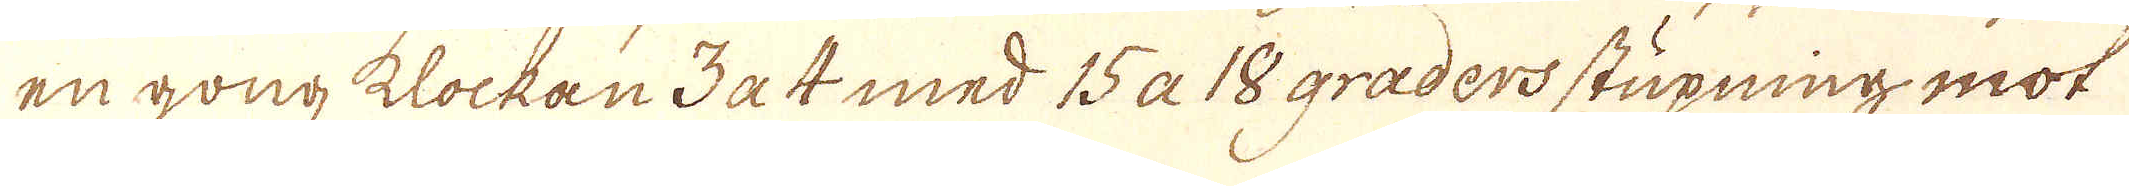en gong klockan 3 a 4 med 15 a 18 graders stupning mot
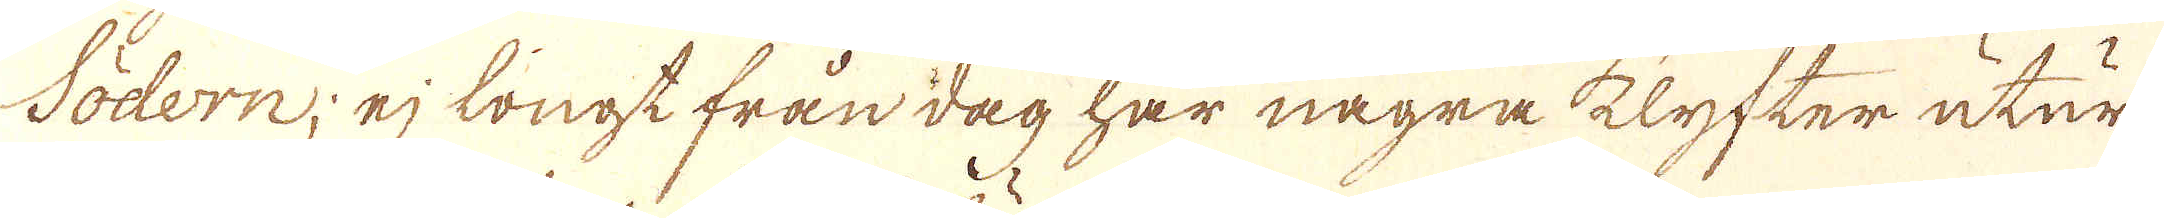Södern, ej longt från dag har några klyfter utur
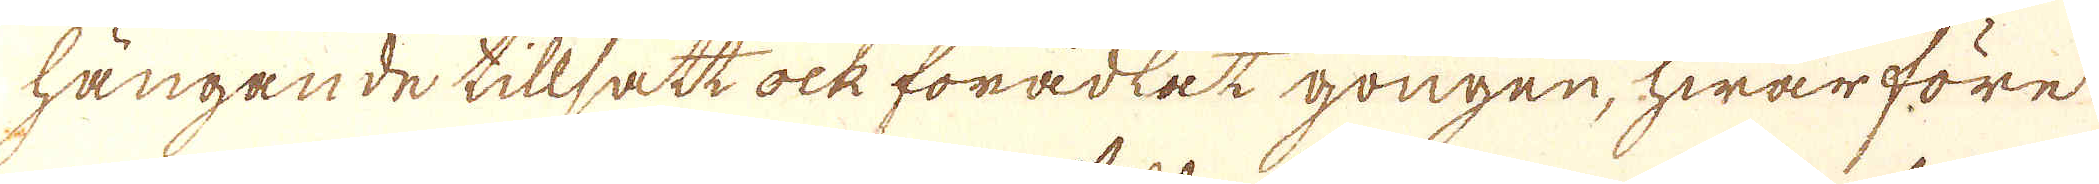hängande tillsatt ock förädlat gongen, hwarföre
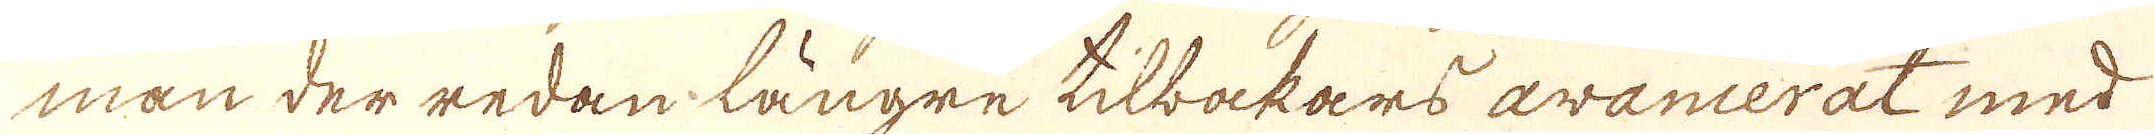man der redan längre tilbakars avancerat med
